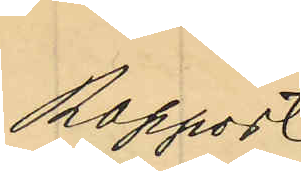Rapport
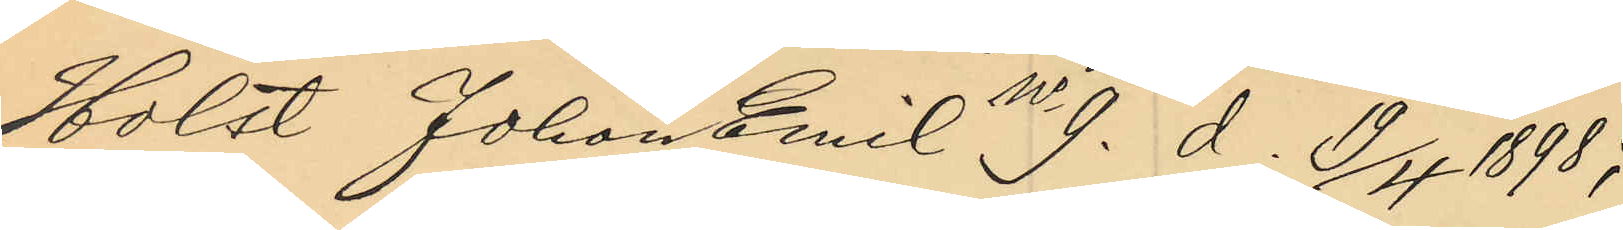Holst Johan Emil No 9. d. 19/4 1898;
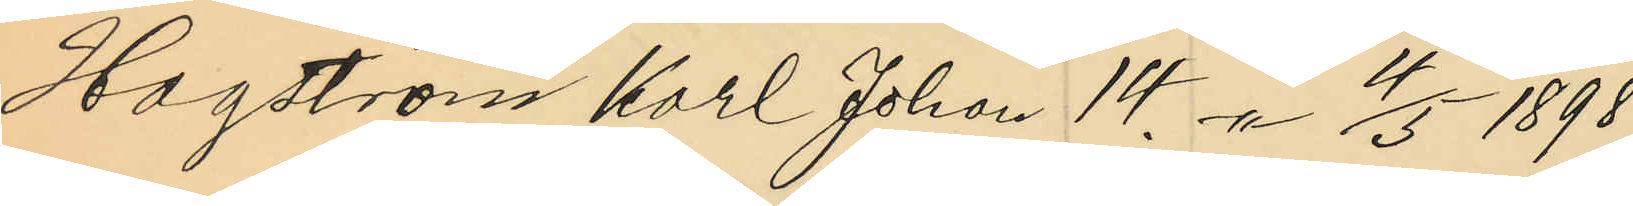Hagström Karl Johan 14. -"- 4/5 1898;
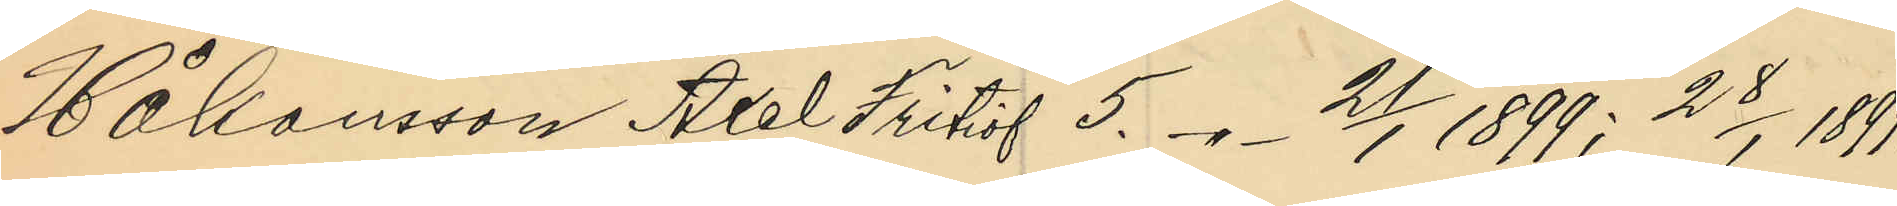Håkansson Axel Fritiof 5. -"- 21/1 1899; 28/1 1899;
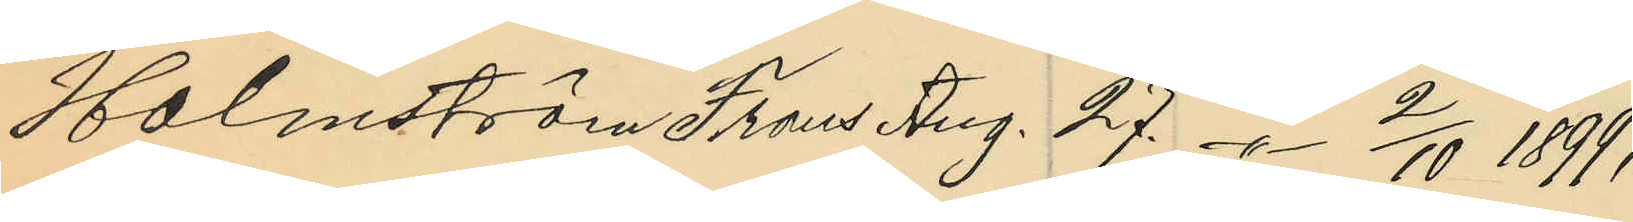Holmström Frans Aug. 27. -"- 2/10 1899;
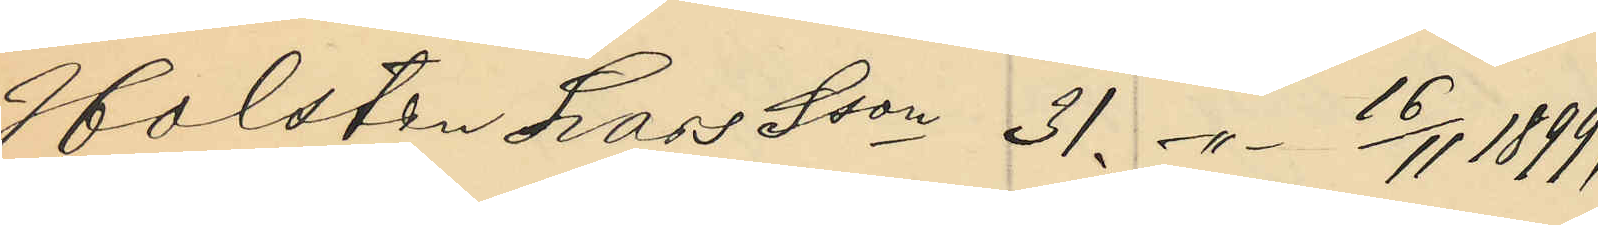Holsten Lars Sson 31. -"- 16/11 1899;
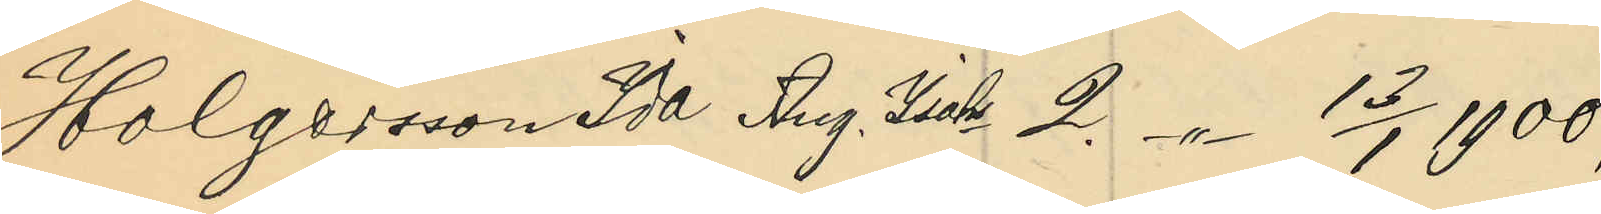Holgersson Ida Aug. Isakr 2. -"- 13/1 1900;
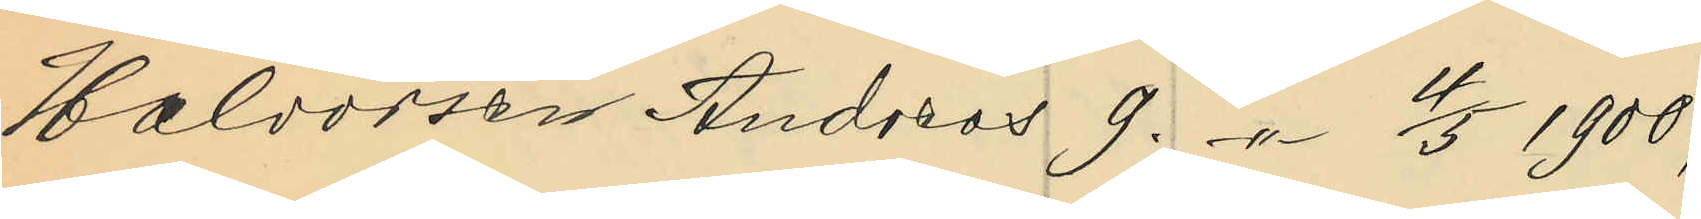Halvorsen Andreas 9. -"- 4/5 1900;
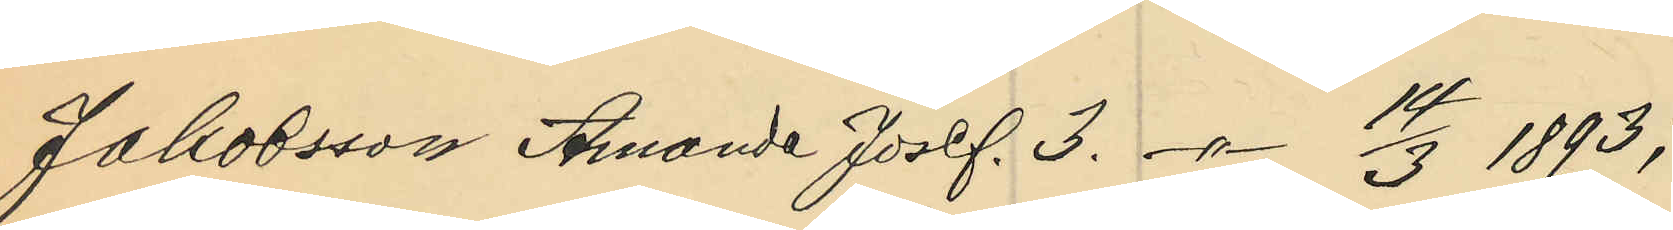Jakobsson Amanda Josef. 3. -"- 14/3 1893;
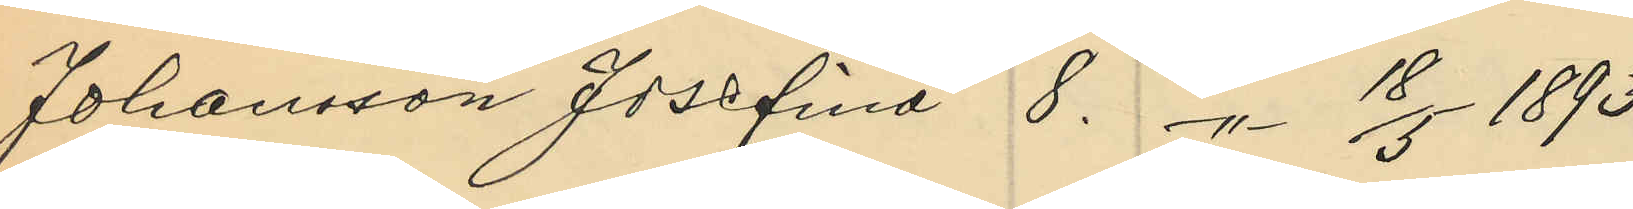Johansson Josefina 8. -"- 18/5 1893;
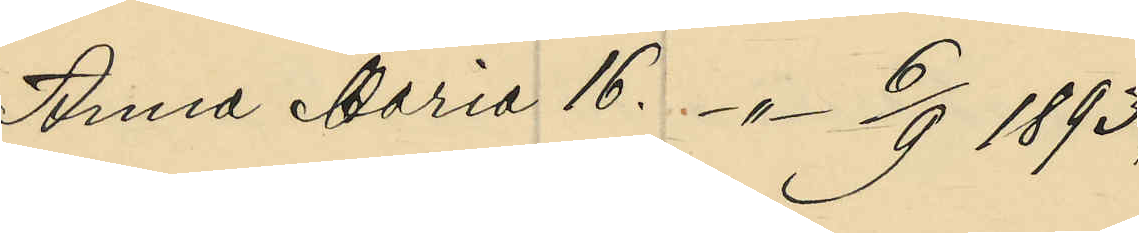Anna Maria 16. -"- 6/9 1893;
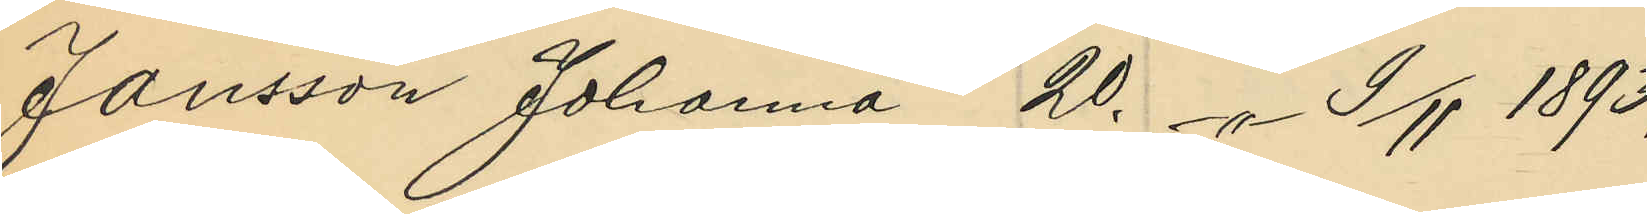Jansson Johanna 20. -"- 9/11 1893;
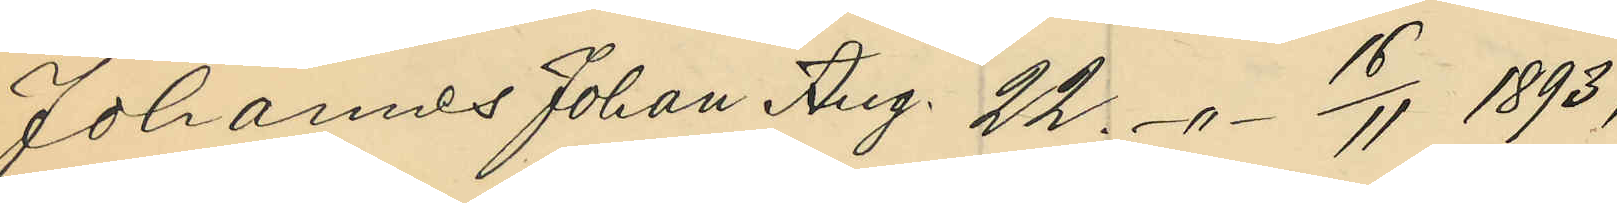Johannes Johan Aug. 22. -"- 16/11 1893;
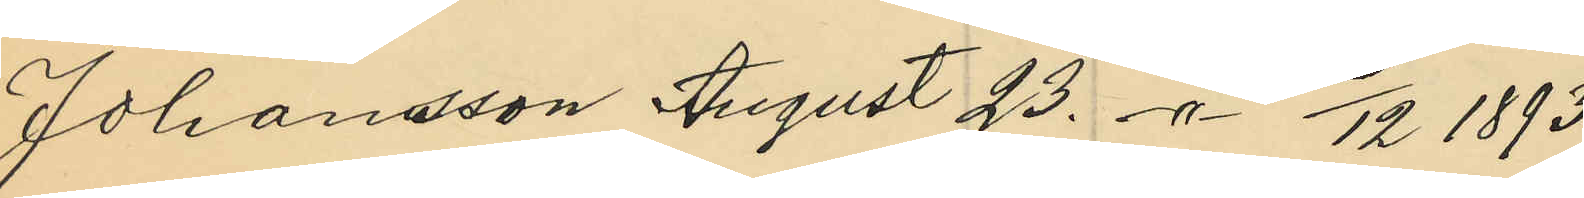Johansson August 23. -"- 13/12 1893;
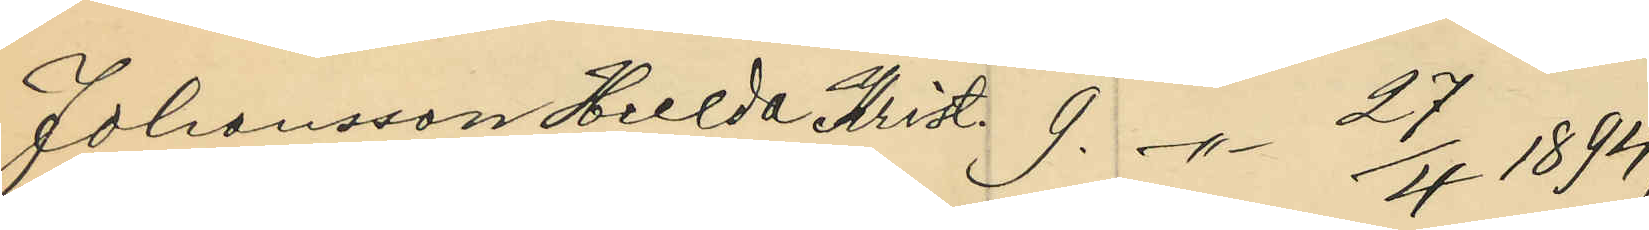Johansson Hulda Krist. 9. -"- 27/4 1894;
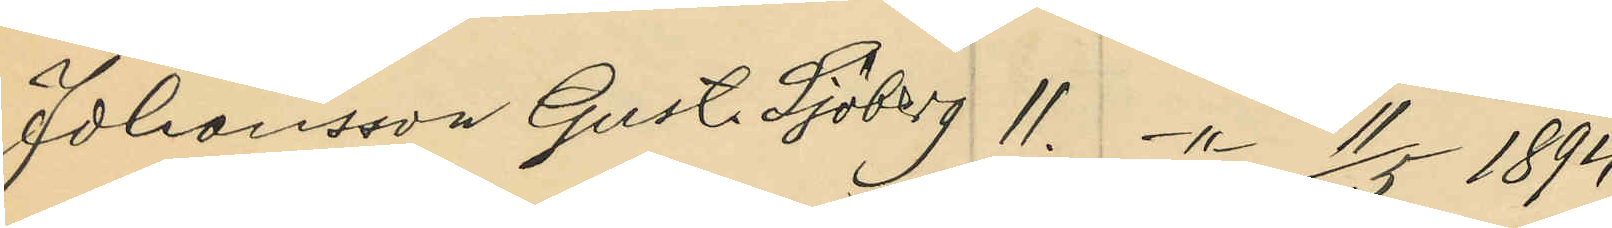Johansson Gust. Sjöberg 11. -"- 11/5 1894;
